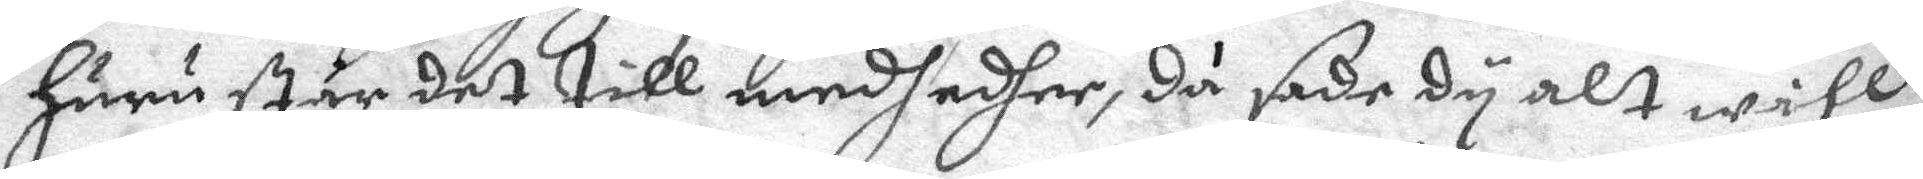huru står det till medh edher, då sade dy alt wähl
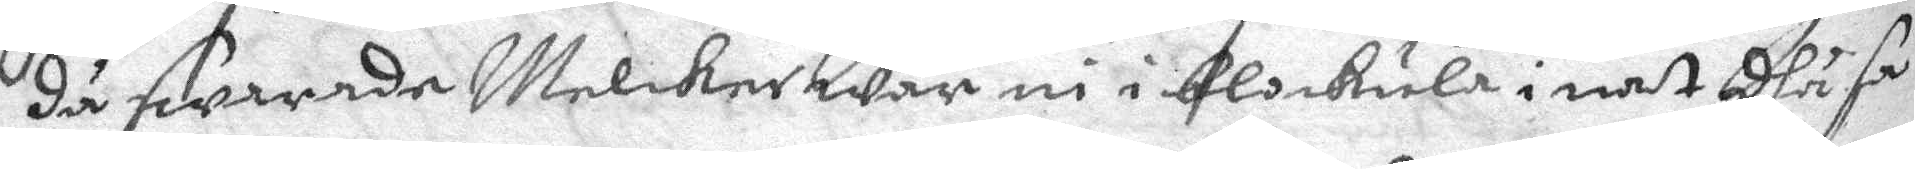då swarade Melcker war ni i blokula i nat dhå sa¬
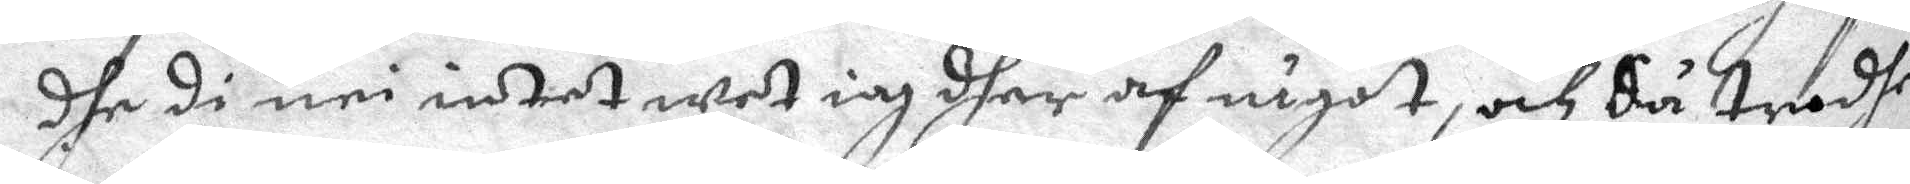dhe di nei intet wet iag dher af något, och Så trodhe
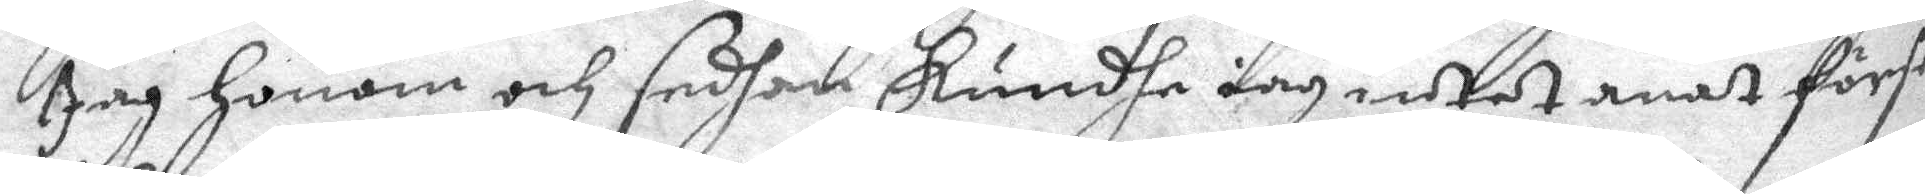Jag honom och sedhan kundhe iag intet anat förstå
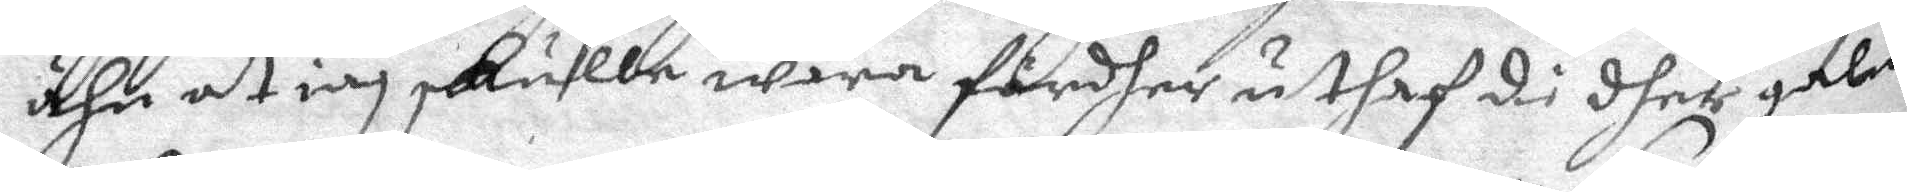ähn at iag skulle wara fördher uthaf di dher galna
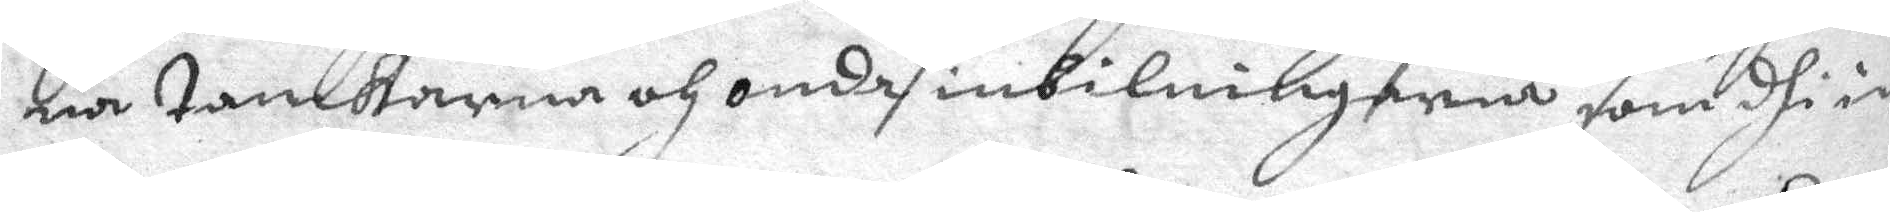na tankarna och onda inbilningarna som dhe in¬
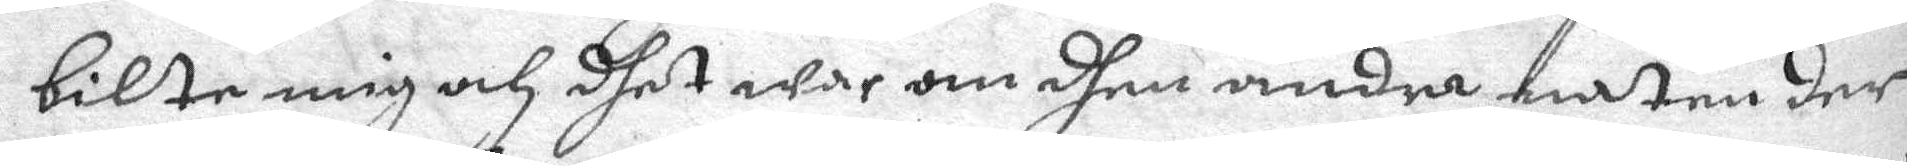bilte mig och dhet war om dhen andra naten der
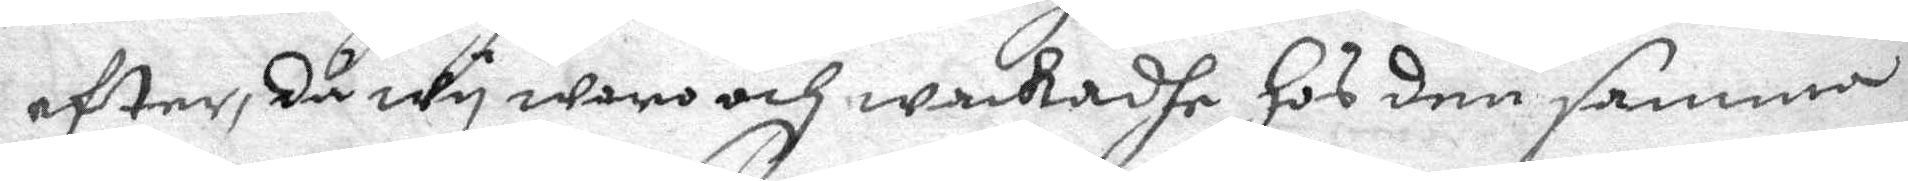efter, då wy woro och wakadhe hos den samma
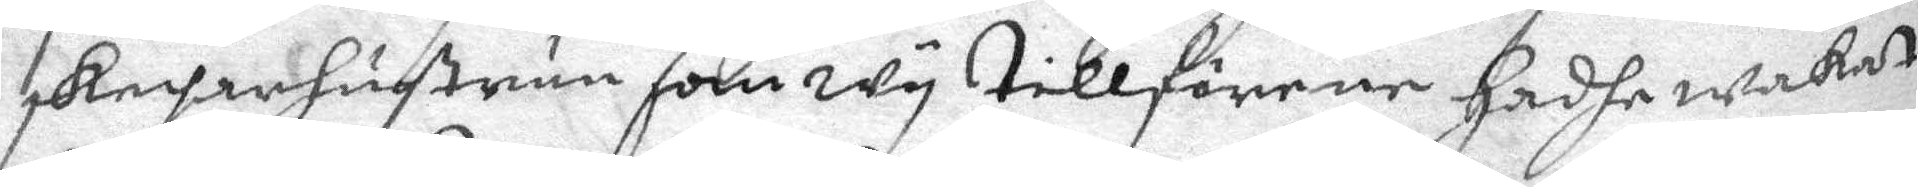skeprehustrun som wy tillförene hadhe wakat
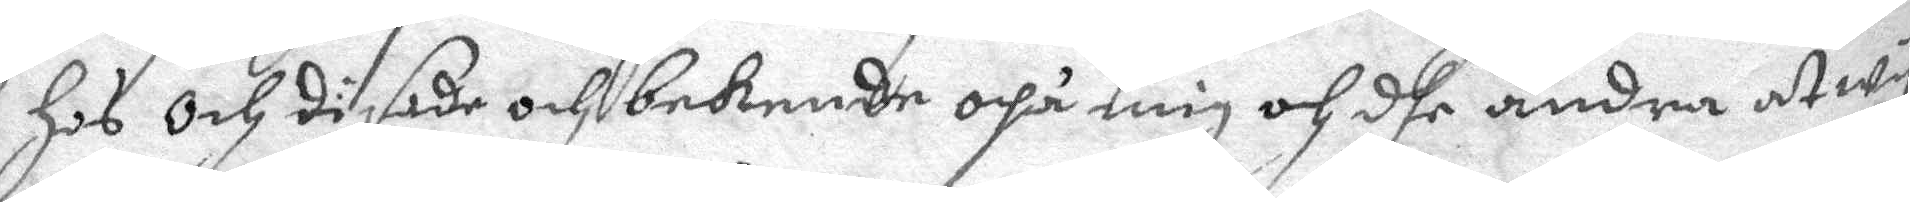hos och di sade och bekende opå mig och dhe andra at wy
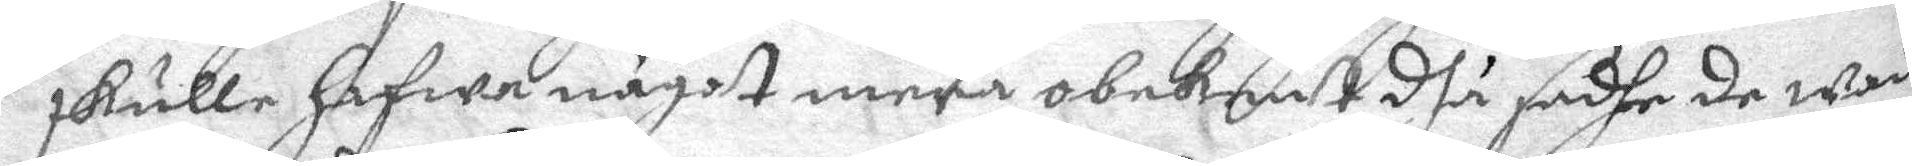skulle hafwa något mera obekant dhå sadhe de wad
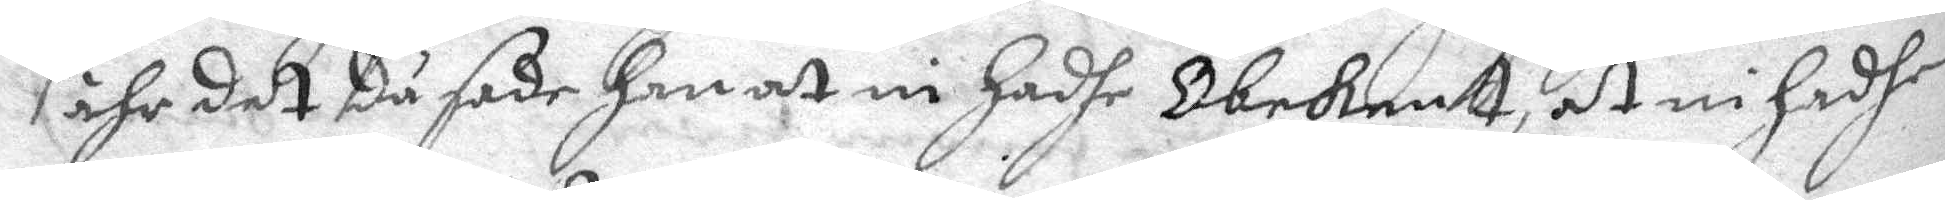ähr det du sade han at ni hadhe Obekent, at ni hadhe
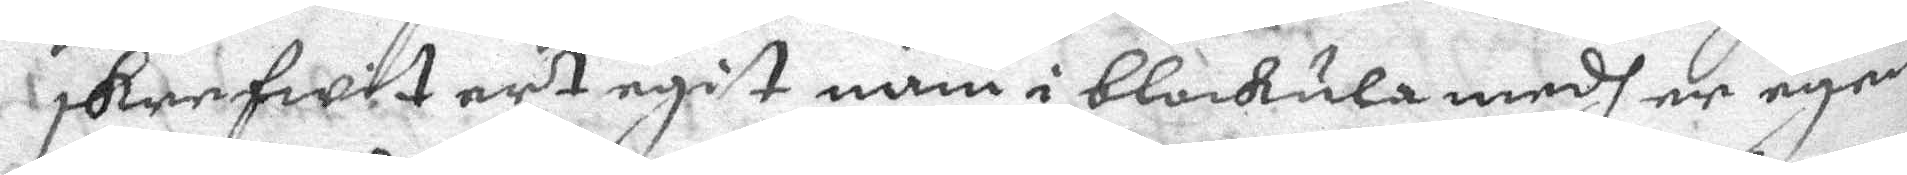skrefwit ert egit nam i blokula medh er egne
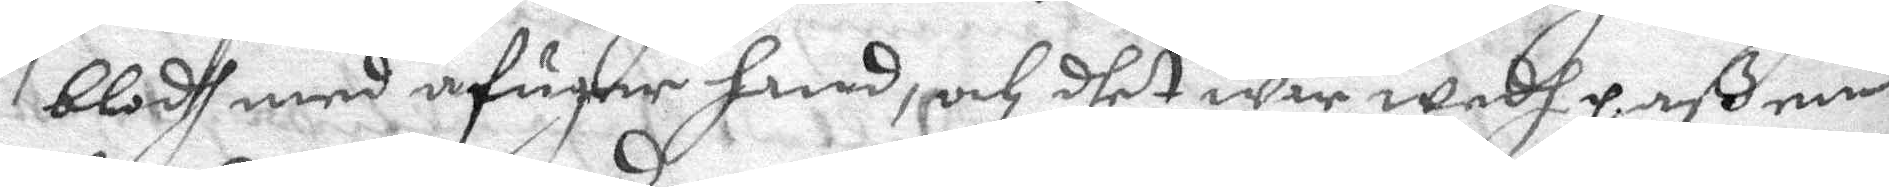blodh med åfuner hwed, och dhet war wedh paß en
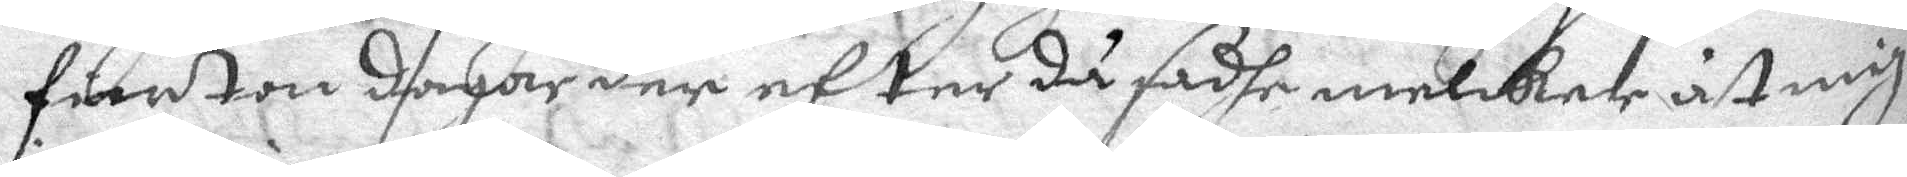fiorton dagar der efter då sadhe melker åt mig
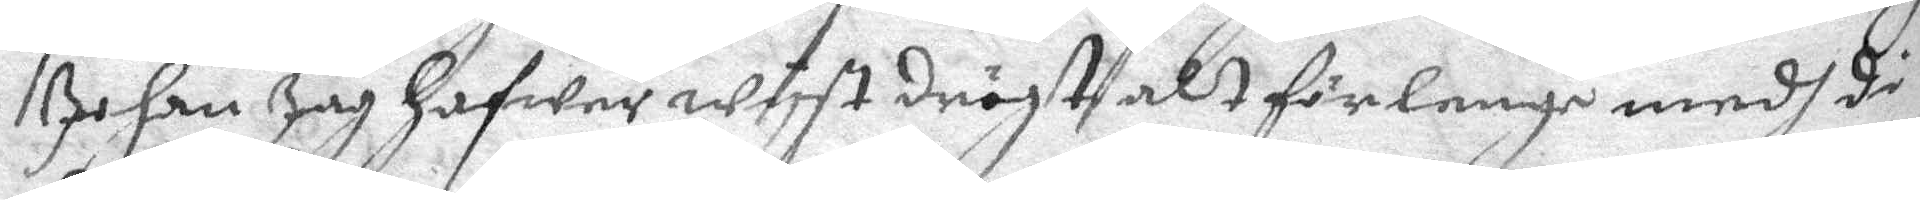Johan Jag hafwer wyst dröjt alt för lenge medh di
